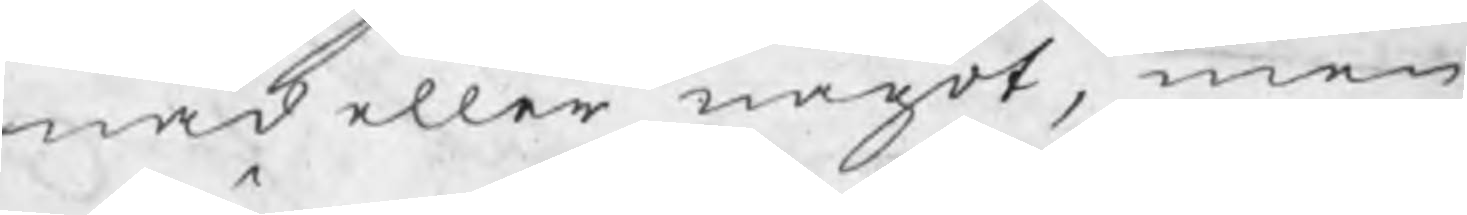nad eller något, men
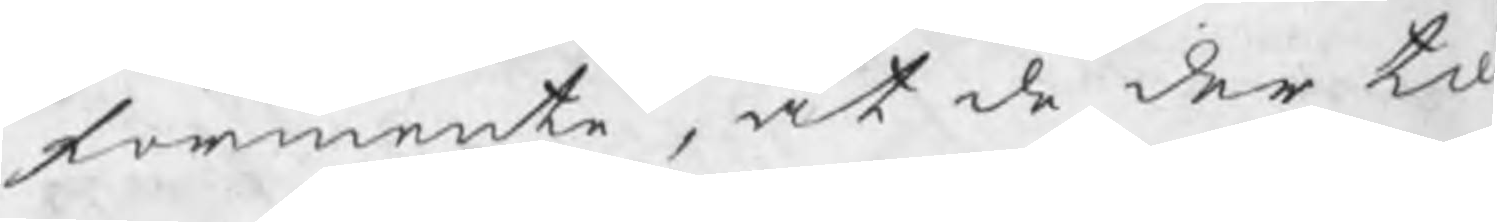förmente, at de der till
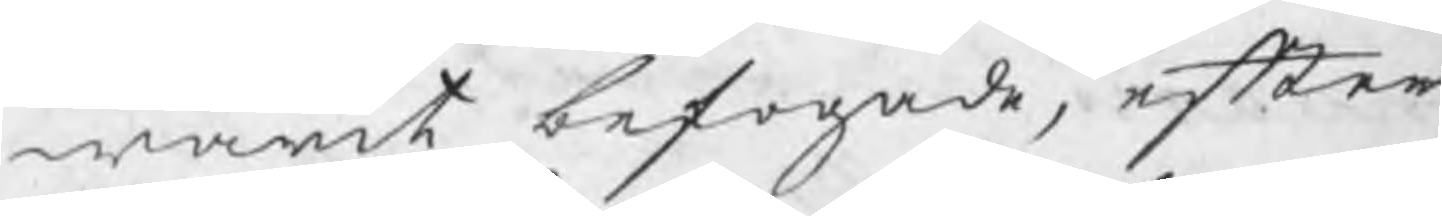warit befogade, efter
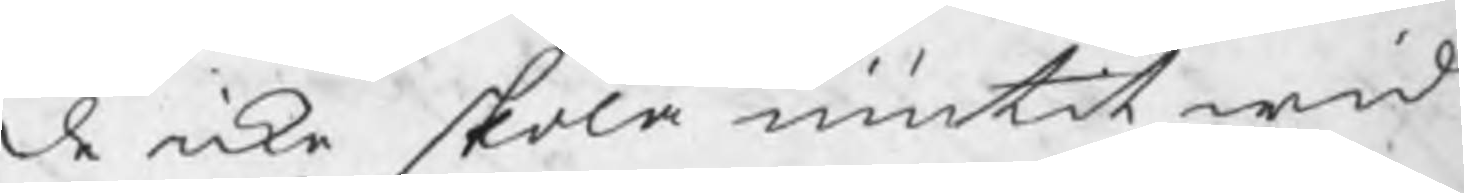de icke skola niutit wid
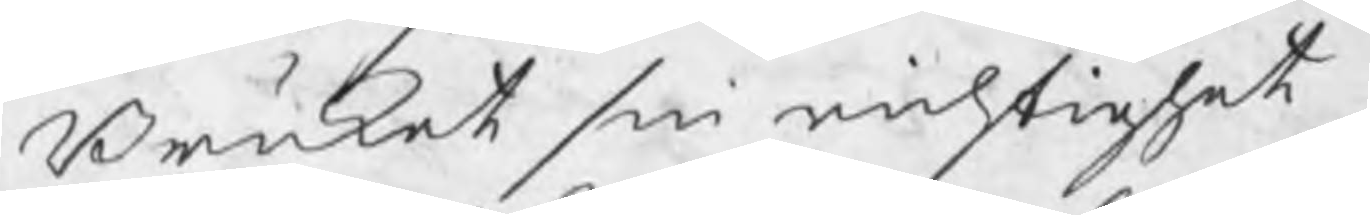Bruket sin richtighet,
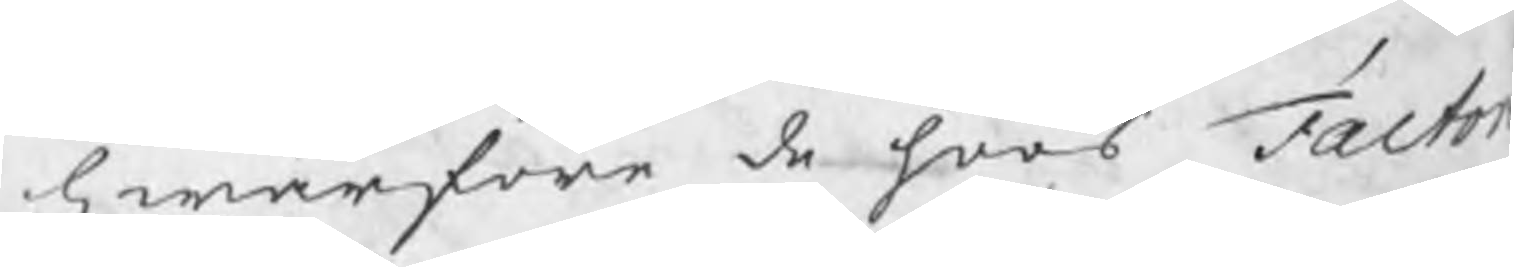hwarföre de hoos Factor
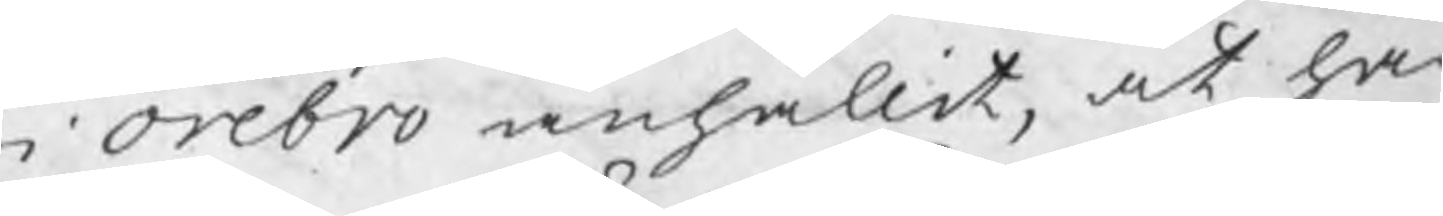i Örebro anhållit, at han
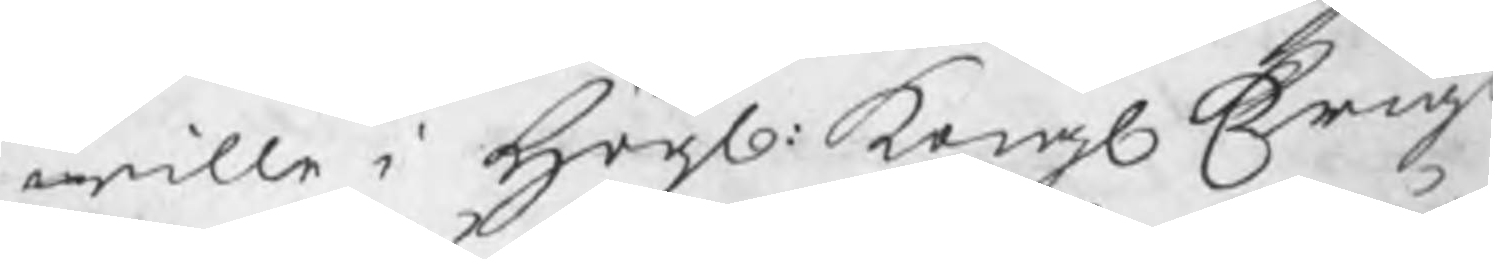wille i Högl: Kongl Crigs
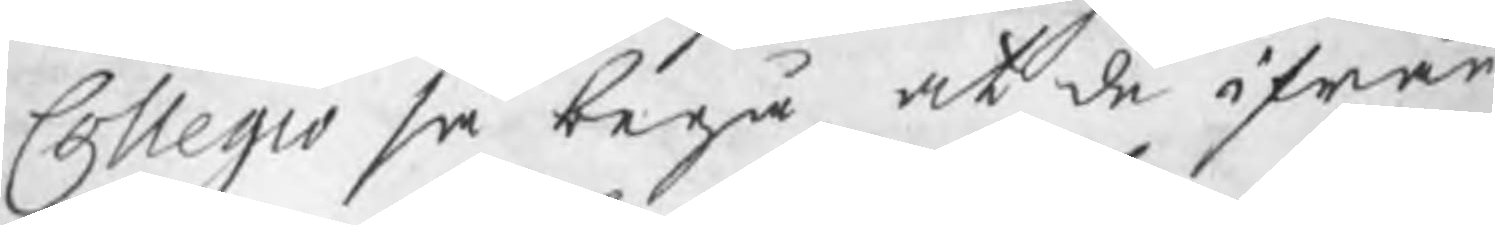Collegio så begå, at de ifrån
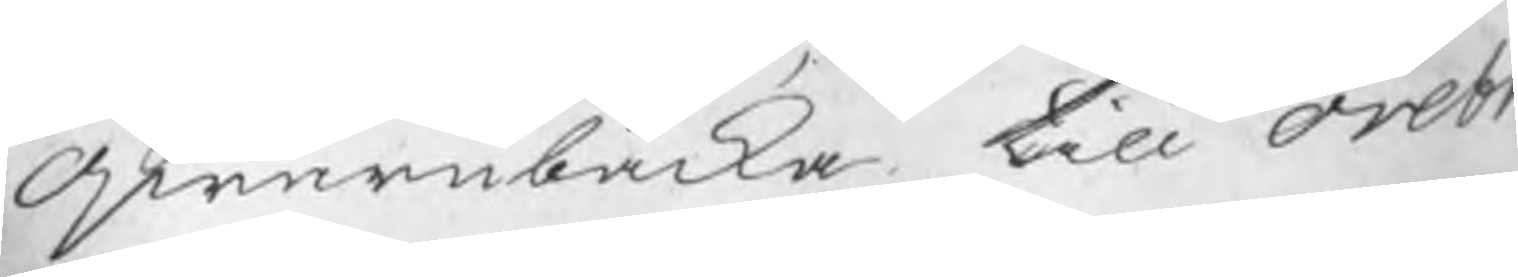Qwarnbacka till Örebr
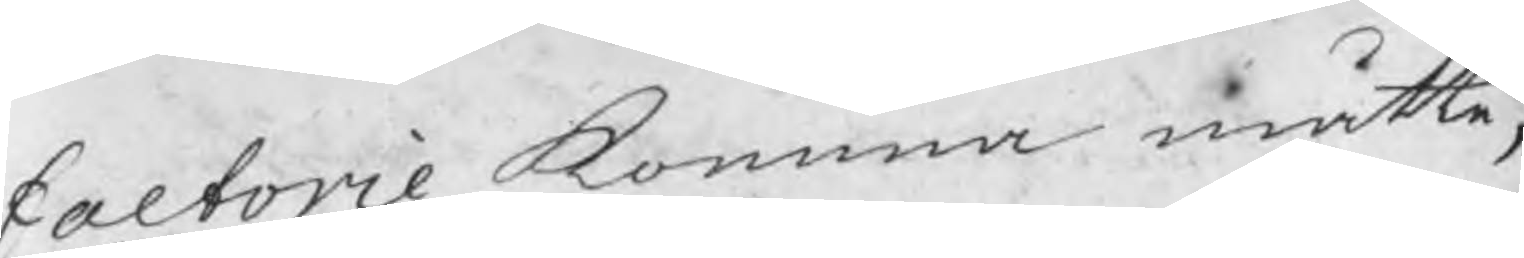factorie komma måtte,
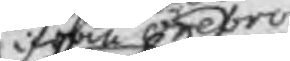ifrån Örebro
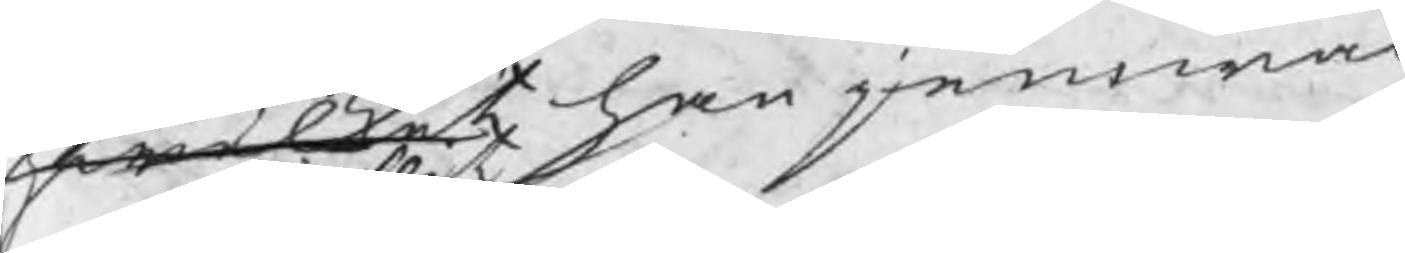hwilket han jemwäl
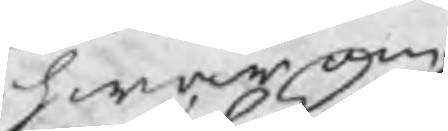hwarom
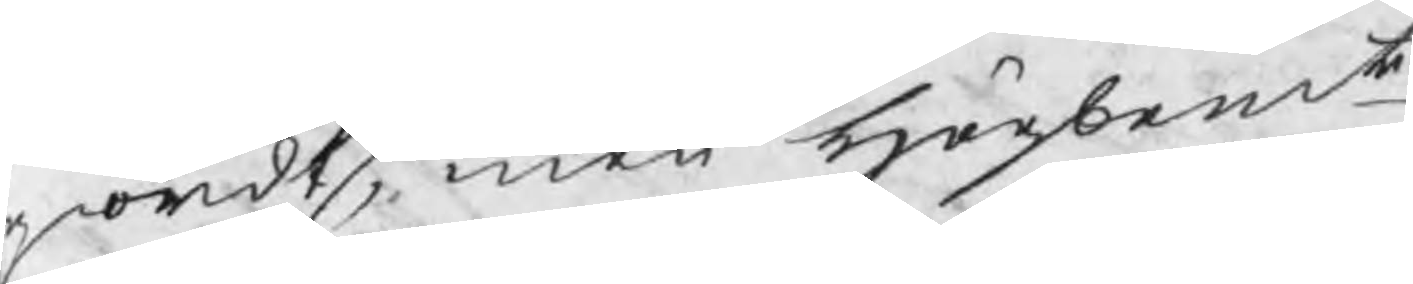giordt, men Högbemte
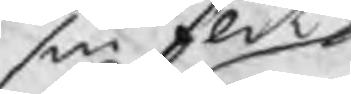sin flit
